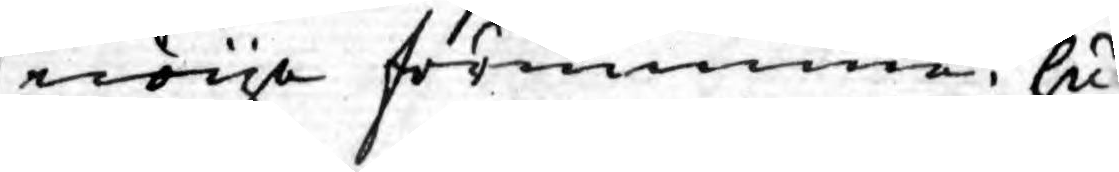nöye förnimma, hu¬
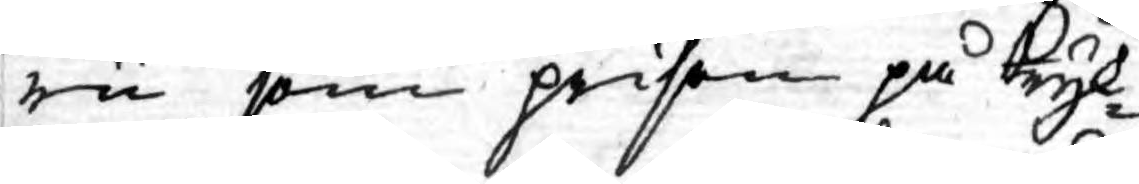ru som prisen på Tryk¬
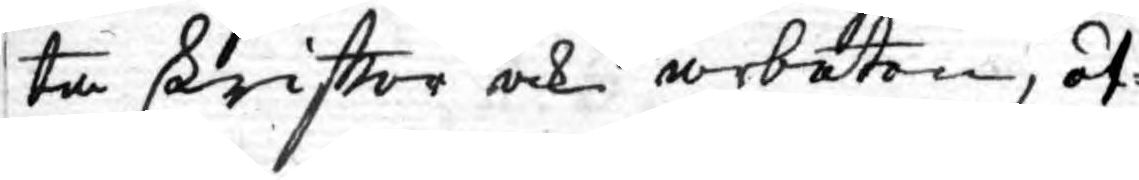ta skriftter och arbeten, öf¬
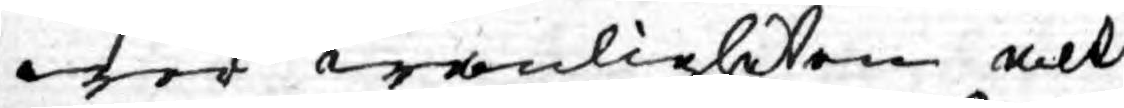wer wanligheten alt
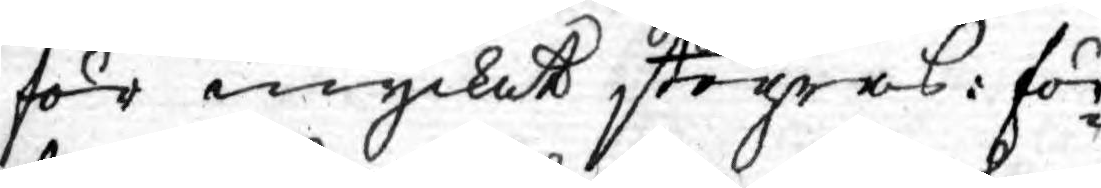för mycket stegras: för¬
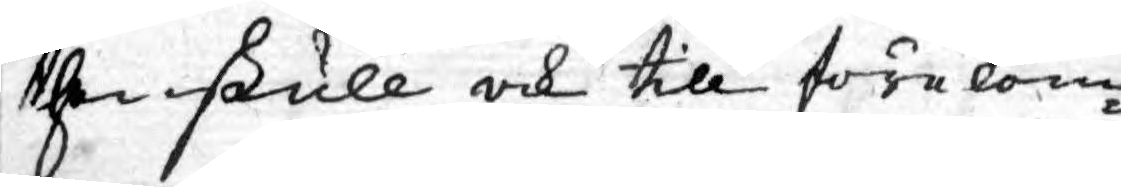then skull ock till förekom¬
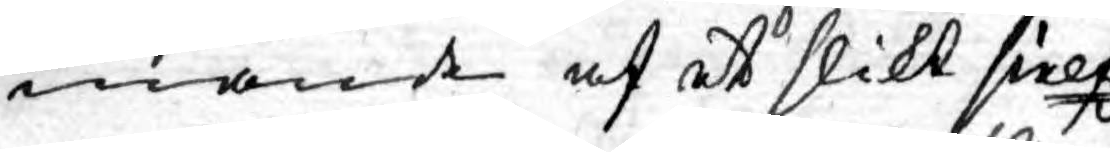mande af et slikt sielfz¬
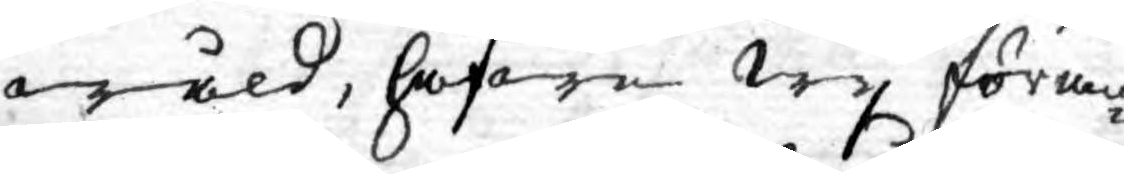wåld, hafwa wy föran¬
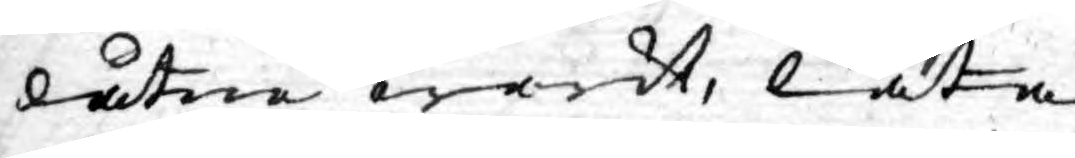låtne warit, låta
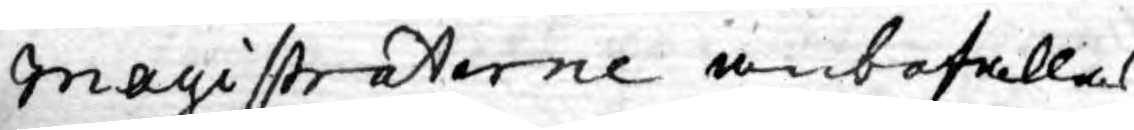Magistraterne anbefallas
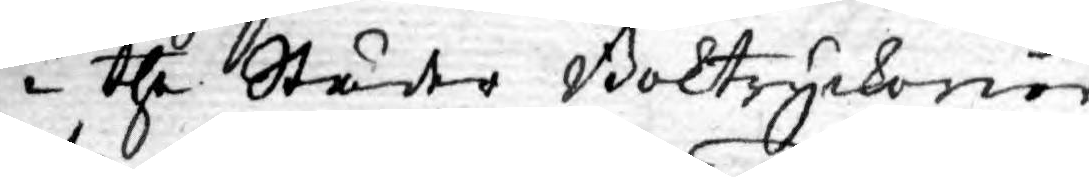i the Städer Boktryckerier
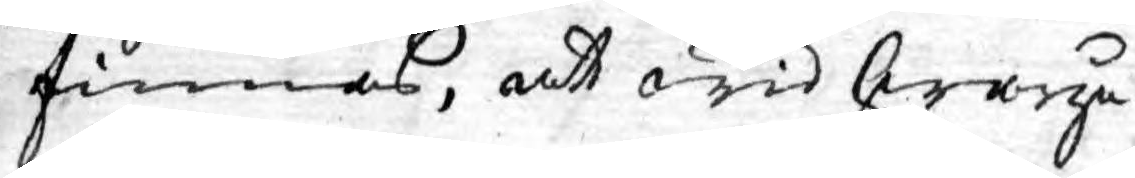finnas, at wid hwarje
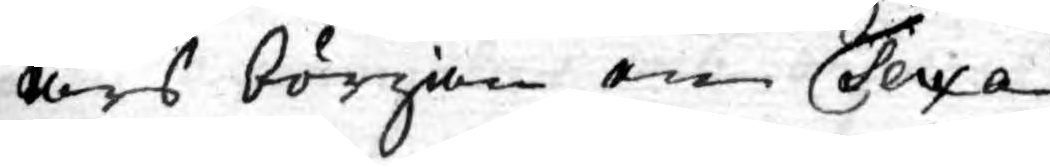års början en Taxa
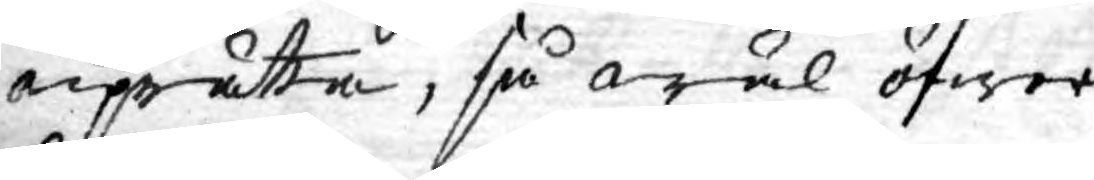uprätta, så wäl öfwer
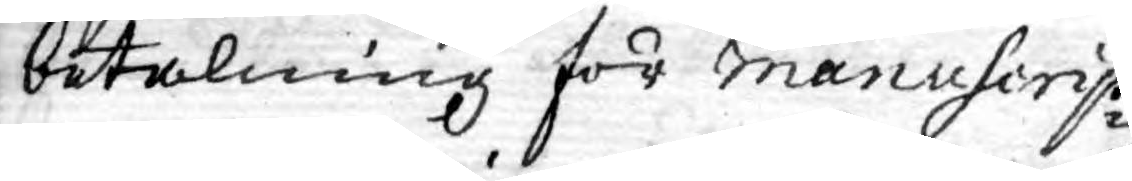betalning för Mancuscrip¬
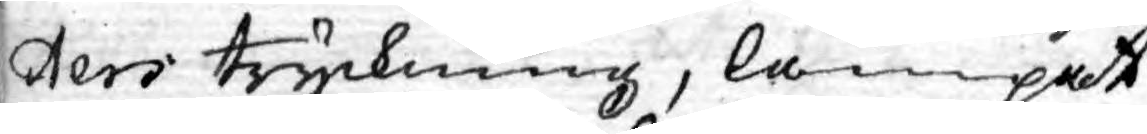ters tryckning, lämpat
